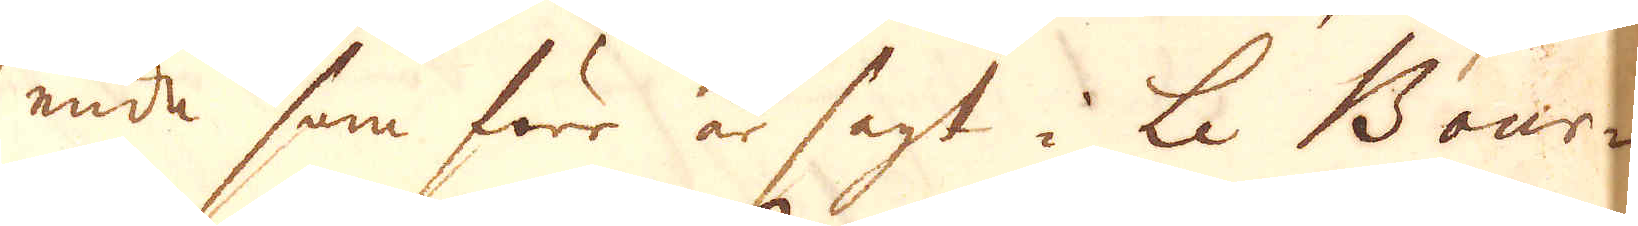ende som förr är sagt i Le Bour-
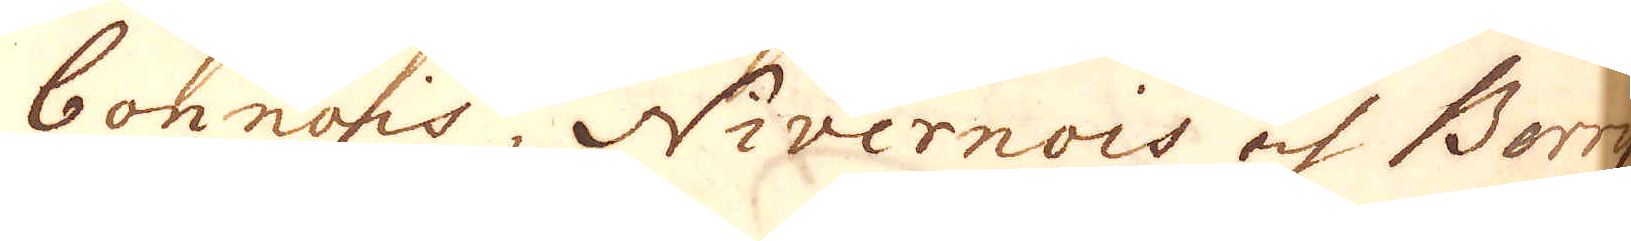bonnois, Nivernois och Berry
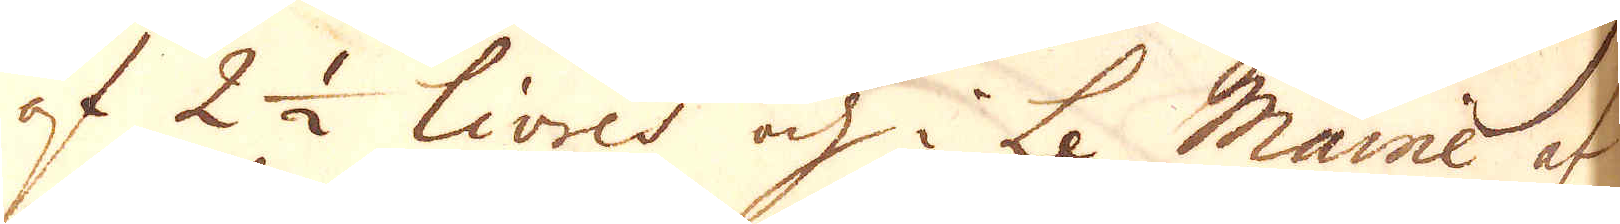af 2 1/2 Livres och i Le Maine af
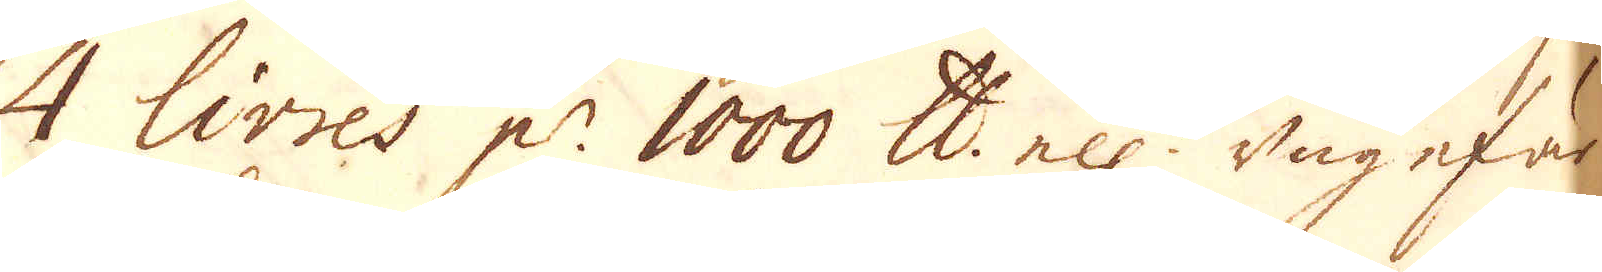4 Livres p:r 1000 skålpund ell:r ungefärl:
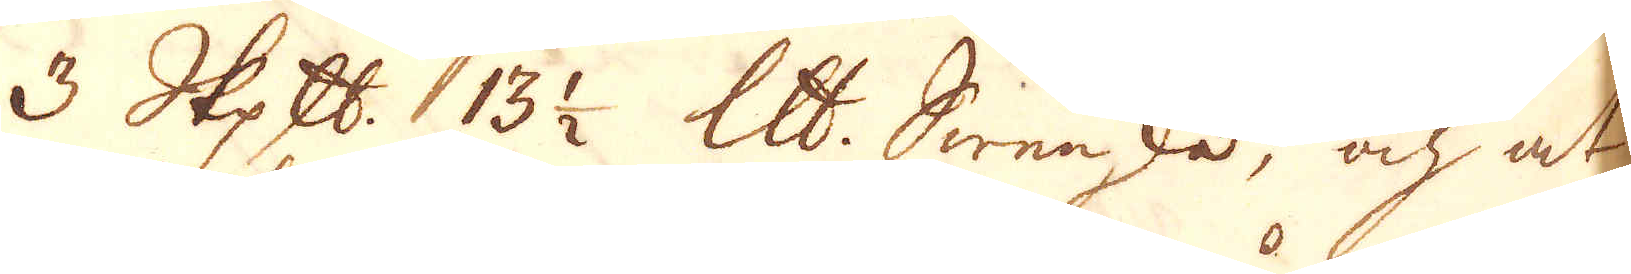3 skeppund 13 1/2 skålpund Swenska, och at
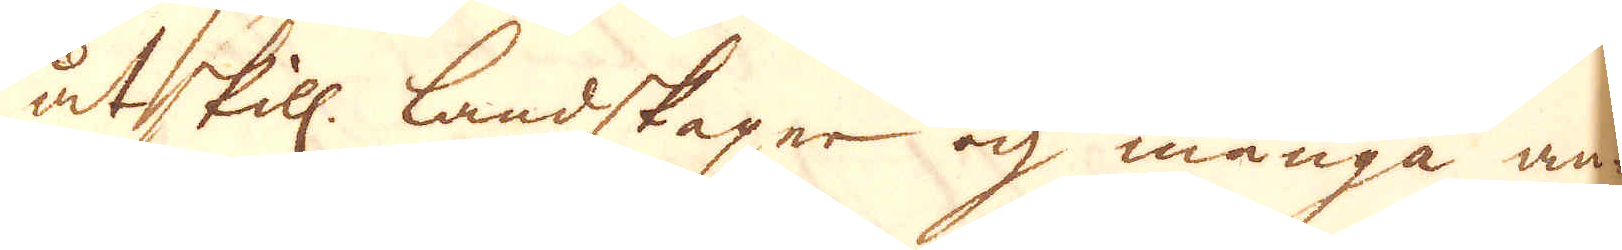åtskill. landskaper och många an-
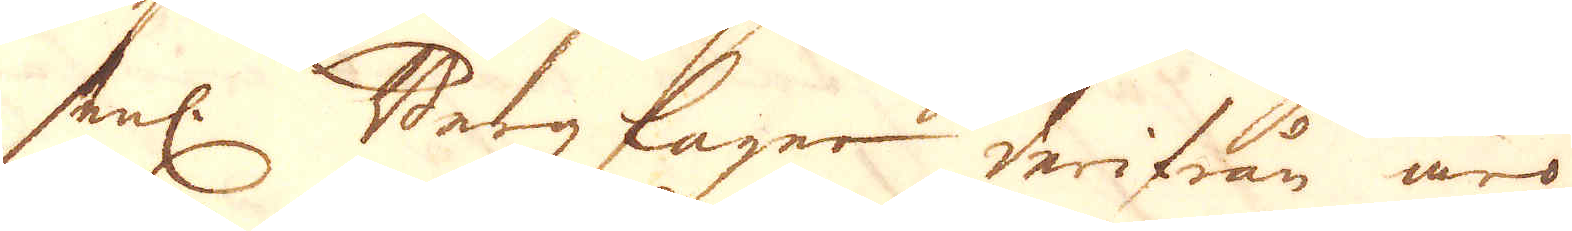senl. Bergzlager derifrån äro
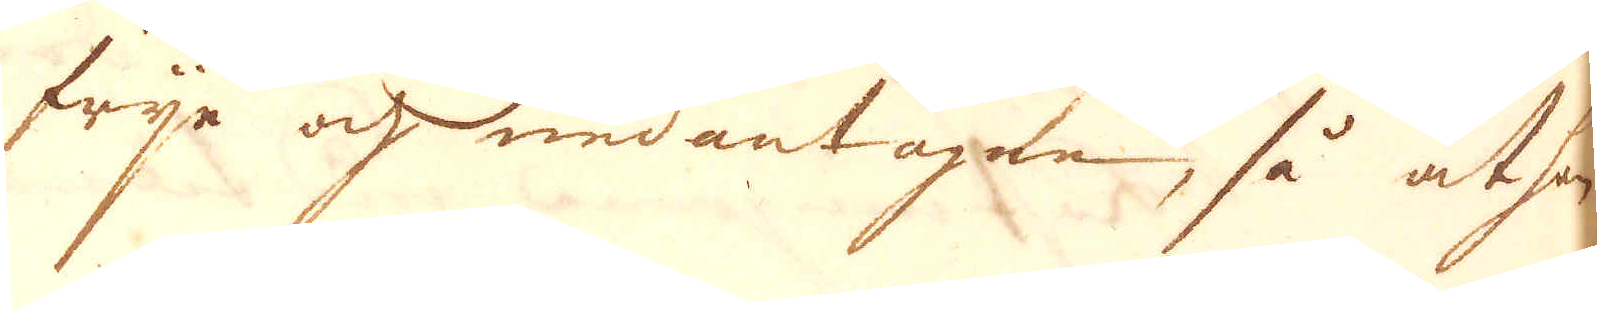frije och undantagne, så at hon
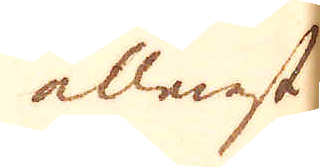allenast
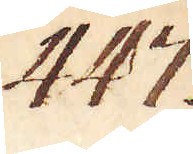447.
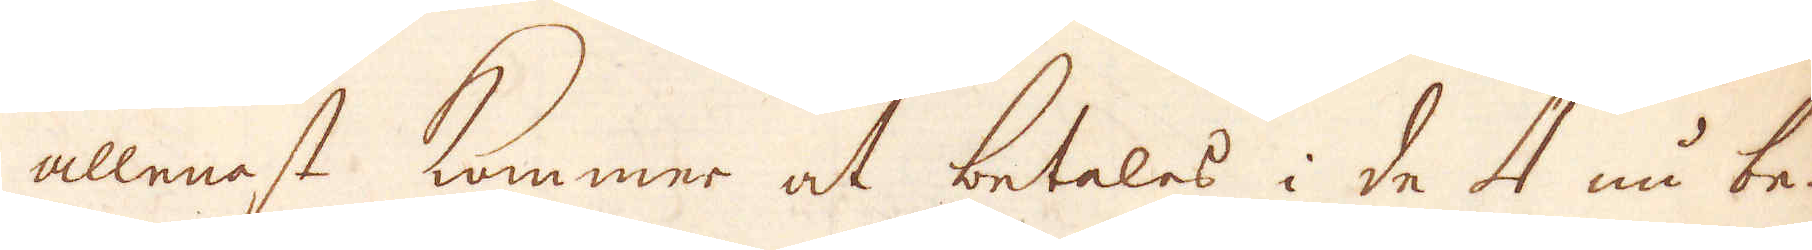allenast kommer at betalas i de 4 nu be-
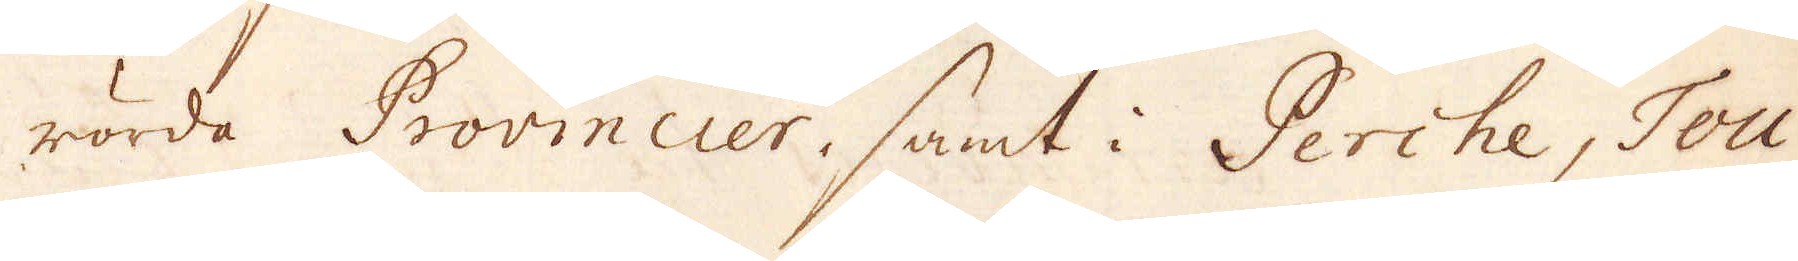rörda Provincier, samt i Perche, Tou-
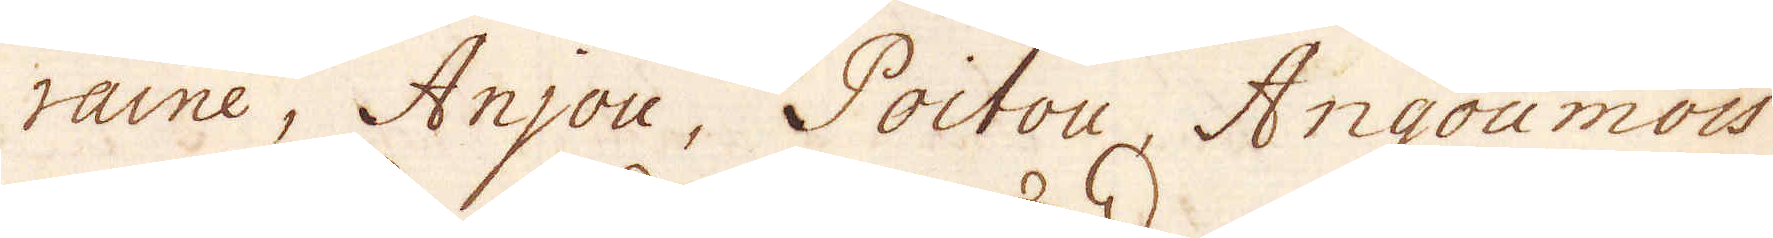raine, Anjou, Poitou, Angoumois
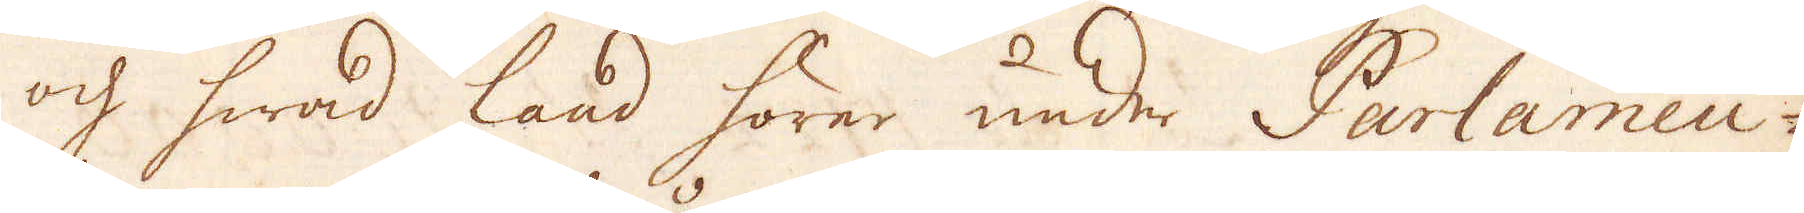och hwad land hörer under Parlamen-
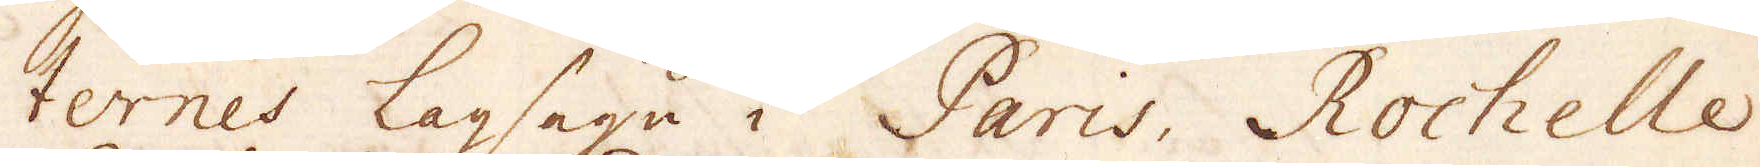ternes lagsaga i Paris, Rochelle
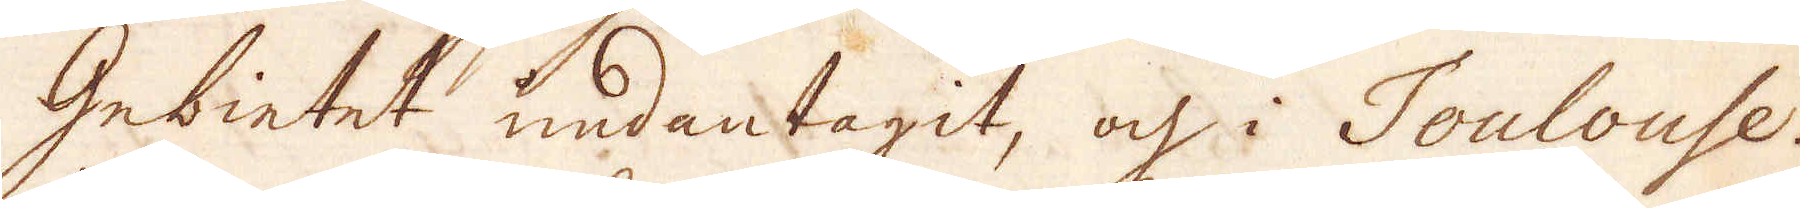Gebietet undantagit, och i Toulouse.
